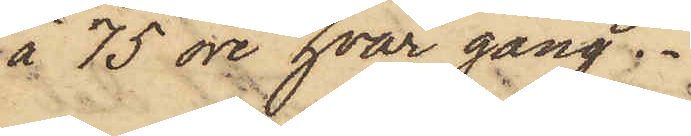à 75 öre hvar gång.
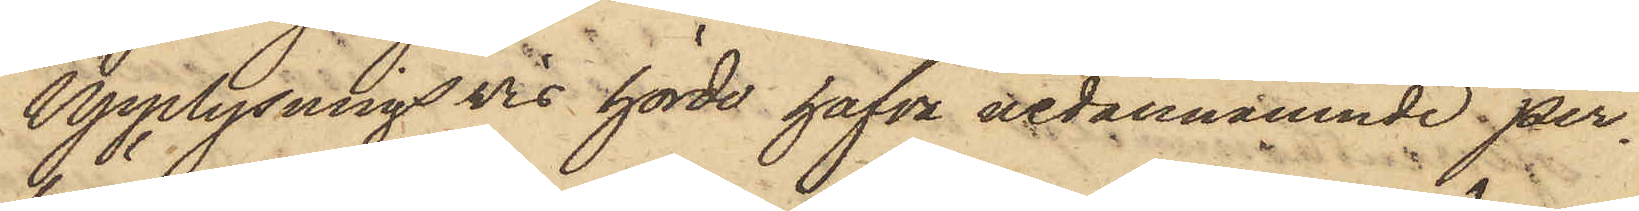Upplysningsvis hörde hafva nedannämnde per¬
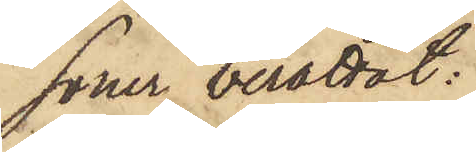soner berättat:
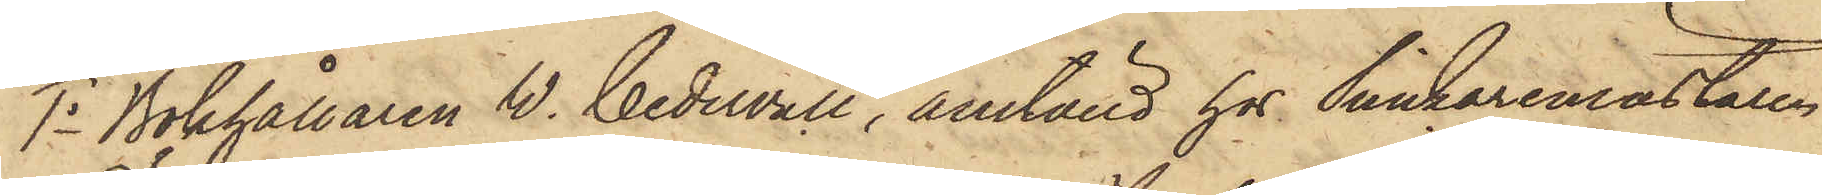1o Bokhållaren W. Cedervall, anställd hos Snickaremästaren
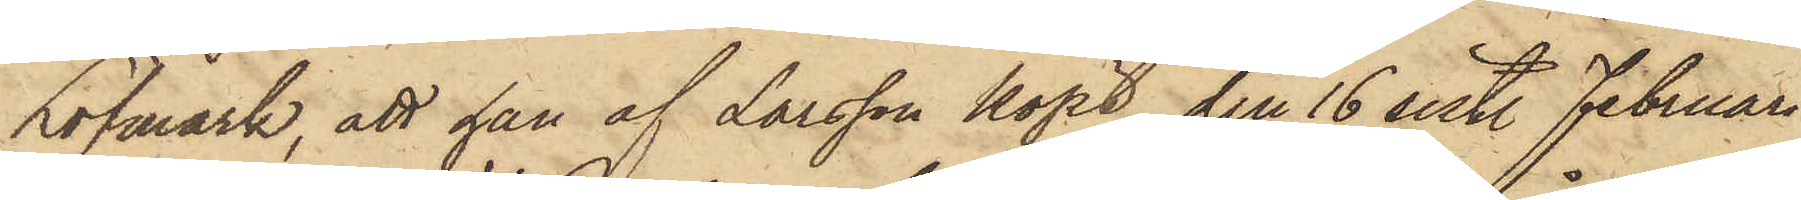Löfmark, att han af Larsson köpt den 16 sist. Februari
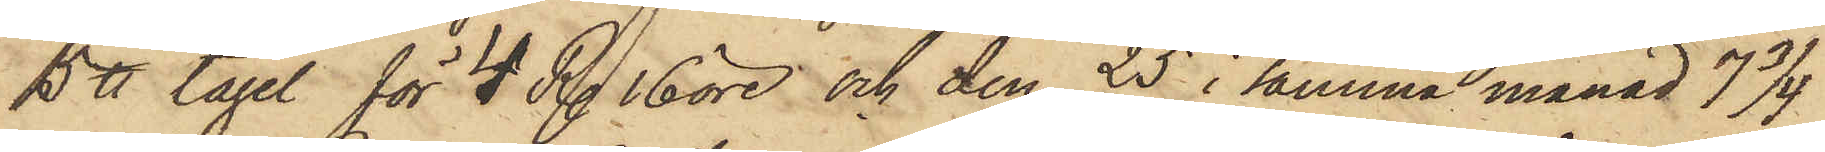5 ℔ tagel för 4 R. 16 öre och den 25 i samma månad 7 3/4
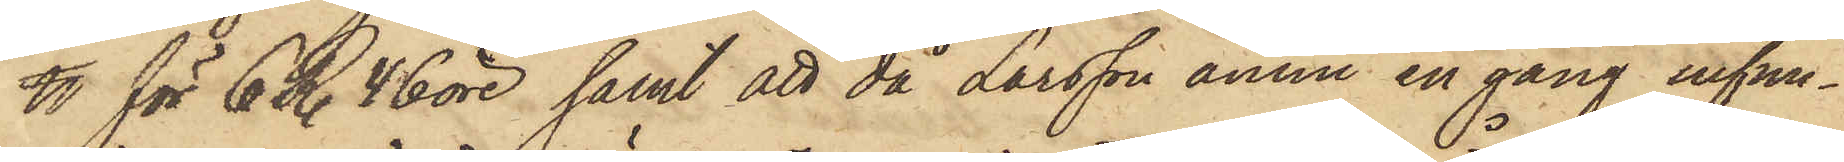℔ för 6 R. 46 öre; samt att då Larsson ännu en gång infun¬
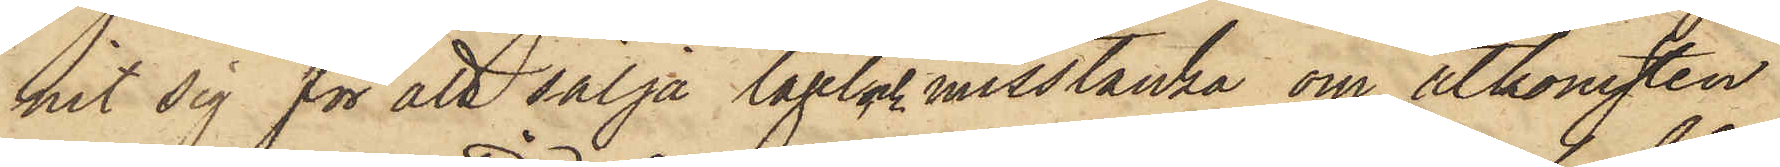nit sig för att sälja tagel och misstanka om åtkomsten
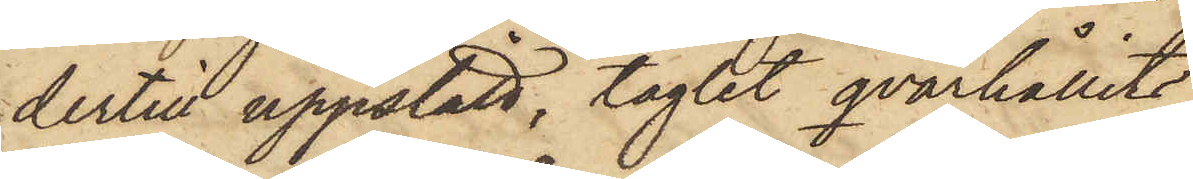dertill uppstått, taglet qvarhållits
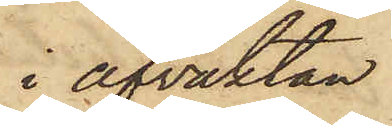i afvaktan
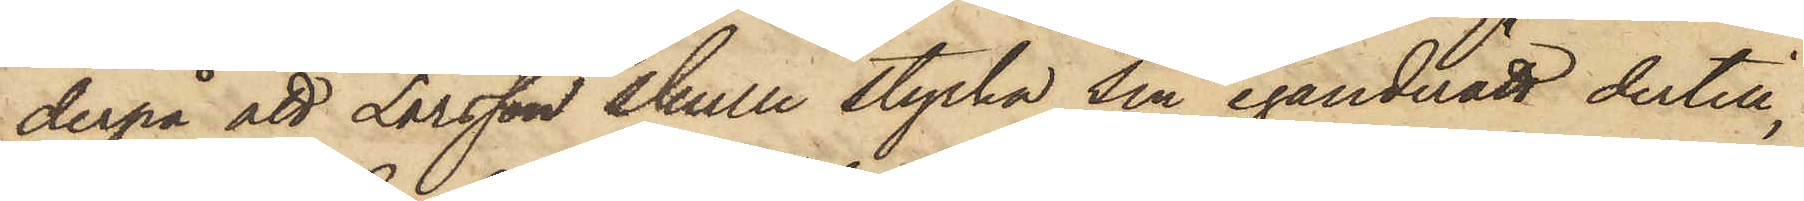derpå att Larsson skulle styrka sin eganderätt dertill,
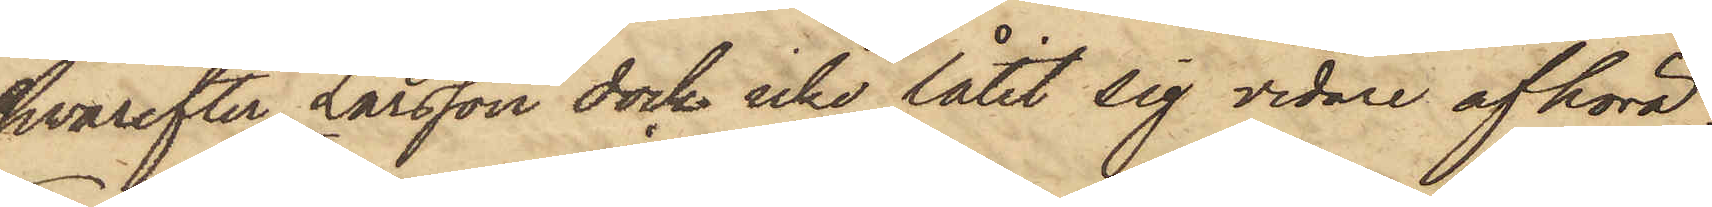hvarefter Larsson dock icke låtit sig vidare afhöra.
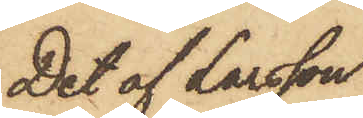Det af Larsson
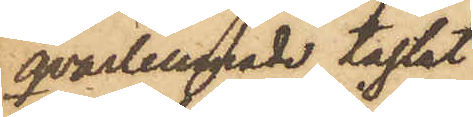qvarlemnade taglet
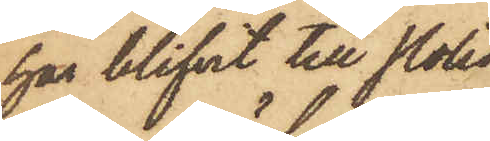har blifvit till Polis¬
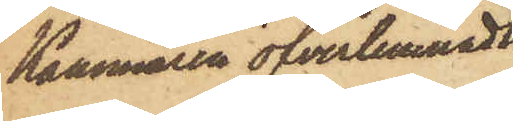Kammaren öfverlemnadt.
